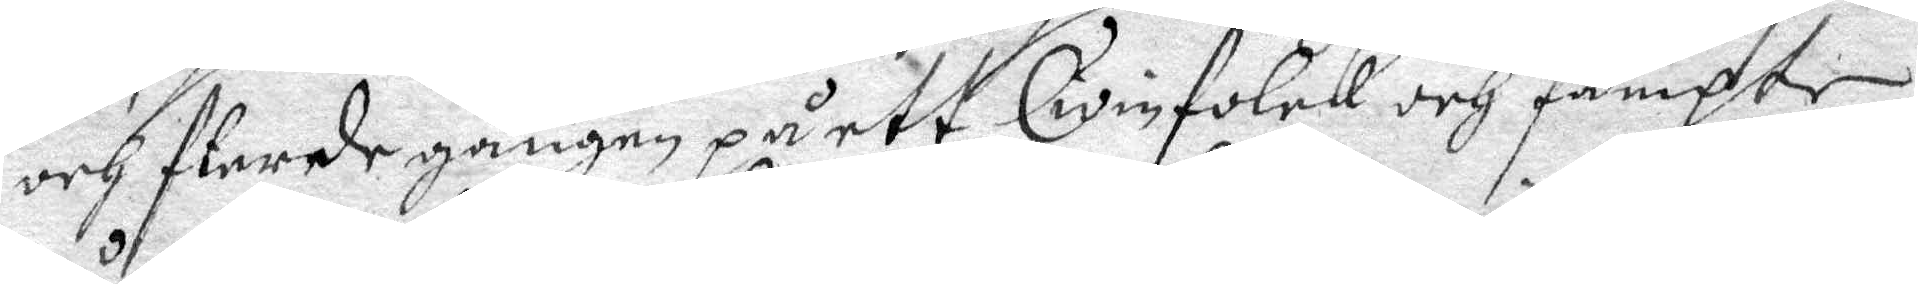och flerde gången på ett Qwinfolck och fämpte
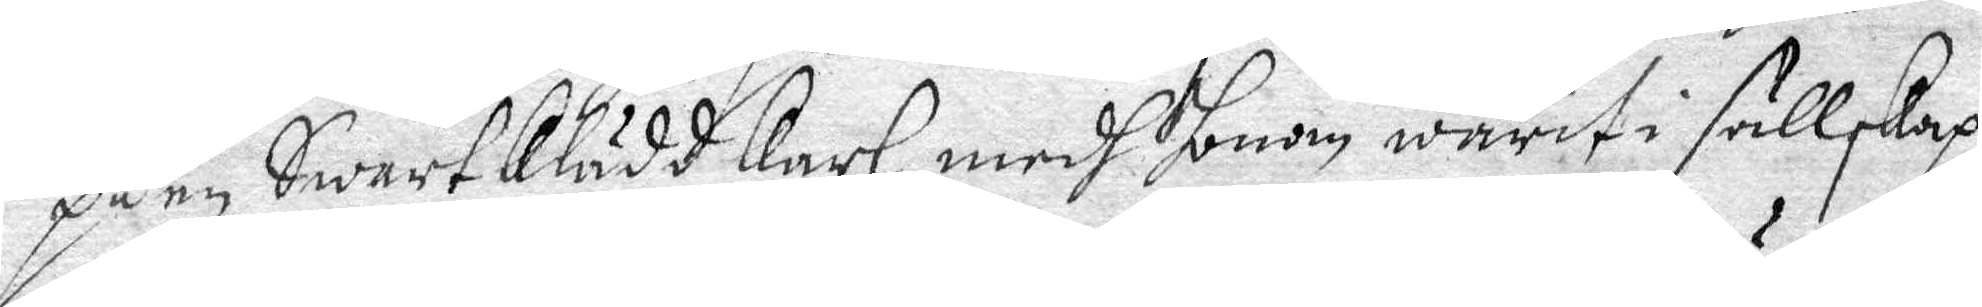på en Swart klädd karl, medh honom warit i sällskap,
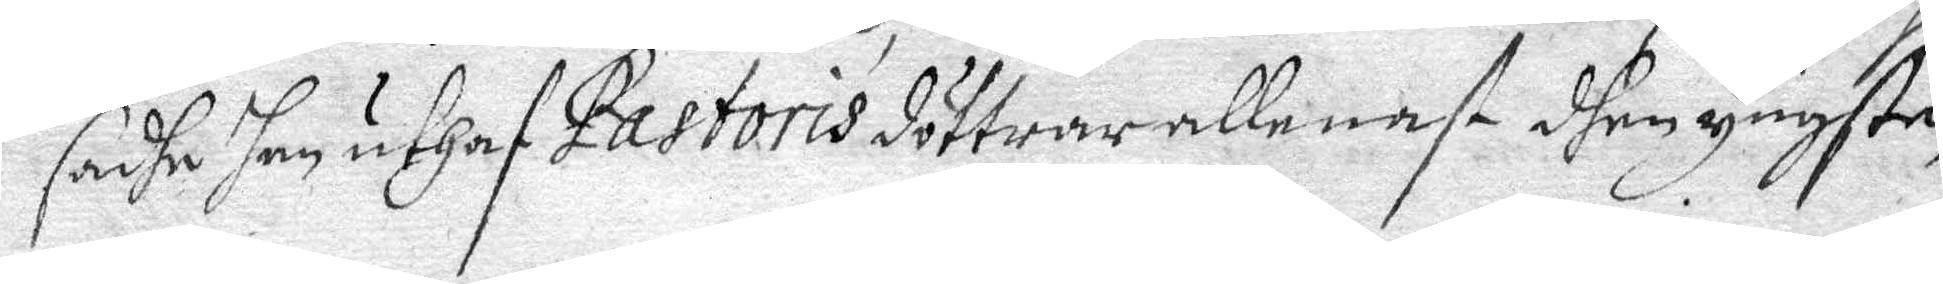sadhe han uthaf Pastoris döttrar allenast dhen yngste,
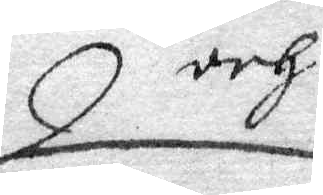och
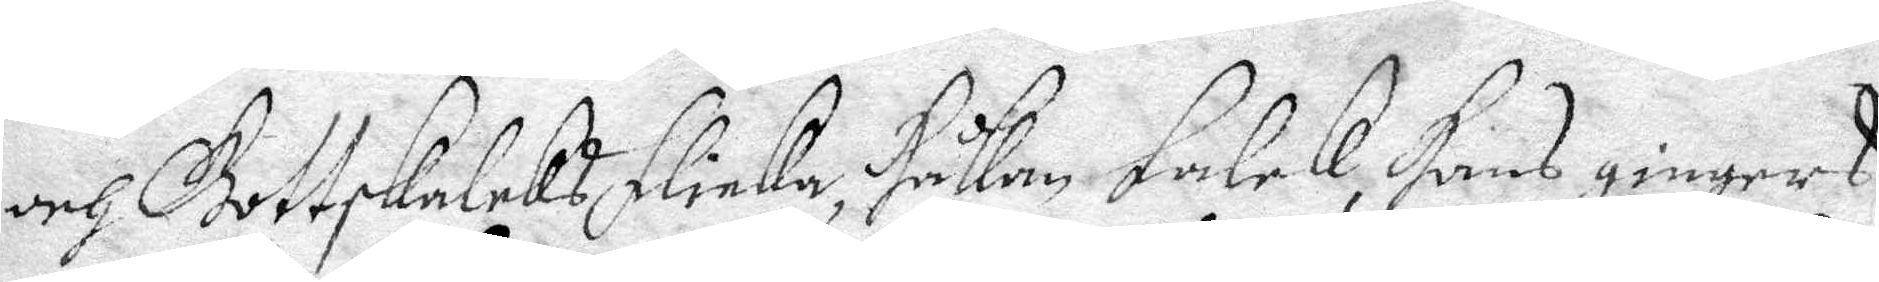och Gottskalks flicka, Håkam Falck, Hans gingers
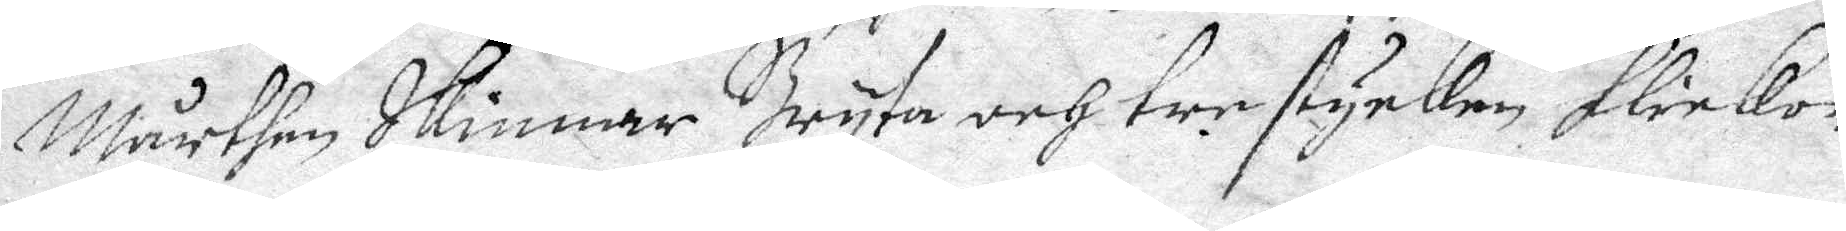Mårthen Skinnar Bryta och tre stycken flickor
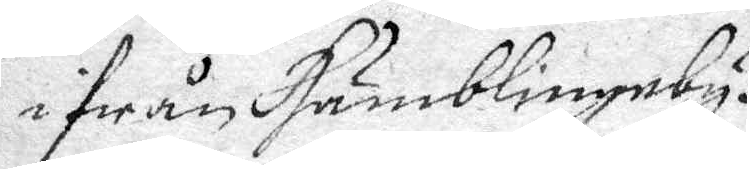ifrån Humblingeby.
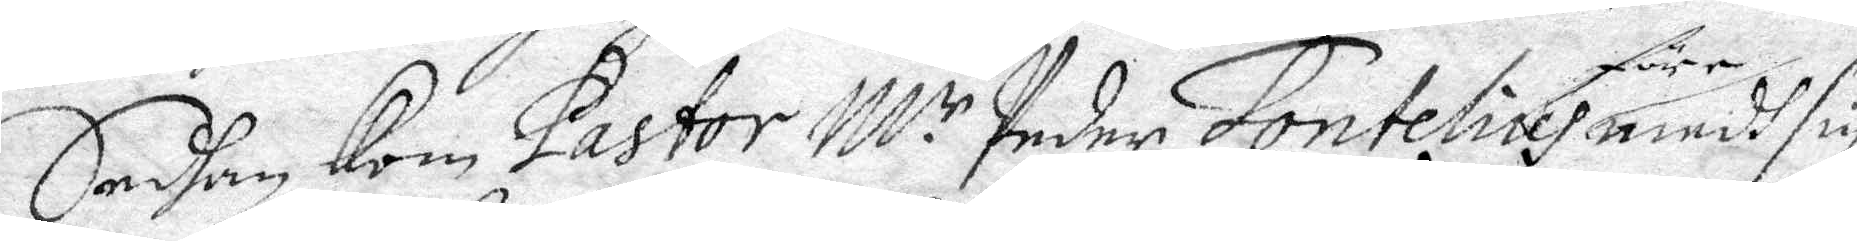Sedhan Kom Pastor M:r Peder Fontelius före medh sin
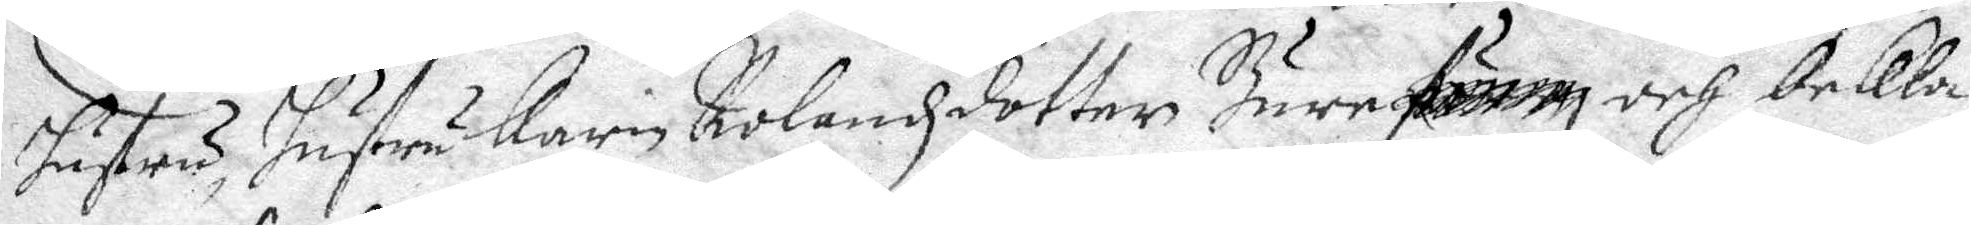hustru, hustru Karin Rolandzdotter Bure .... och bekla¬
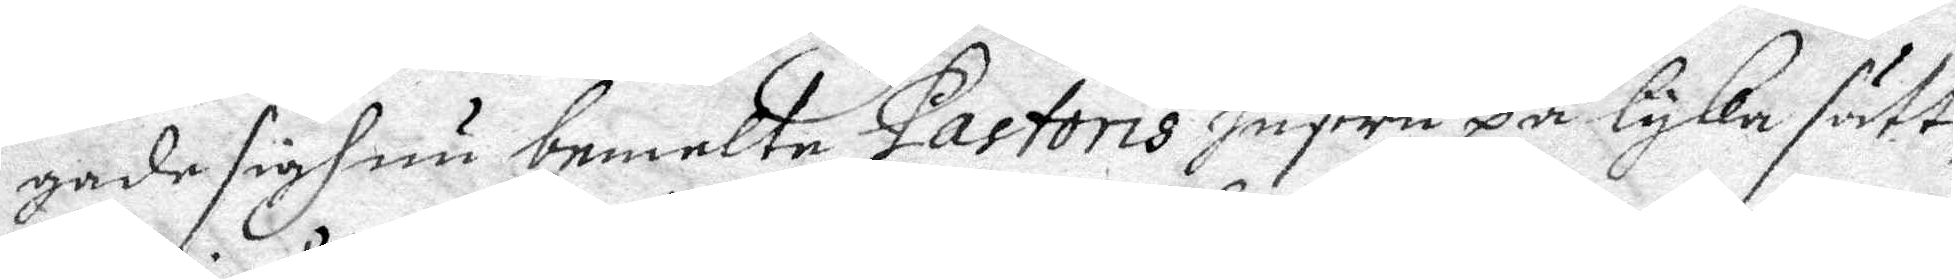gade sigh nu bemelte Pastoris Hustru på lyka sätt,
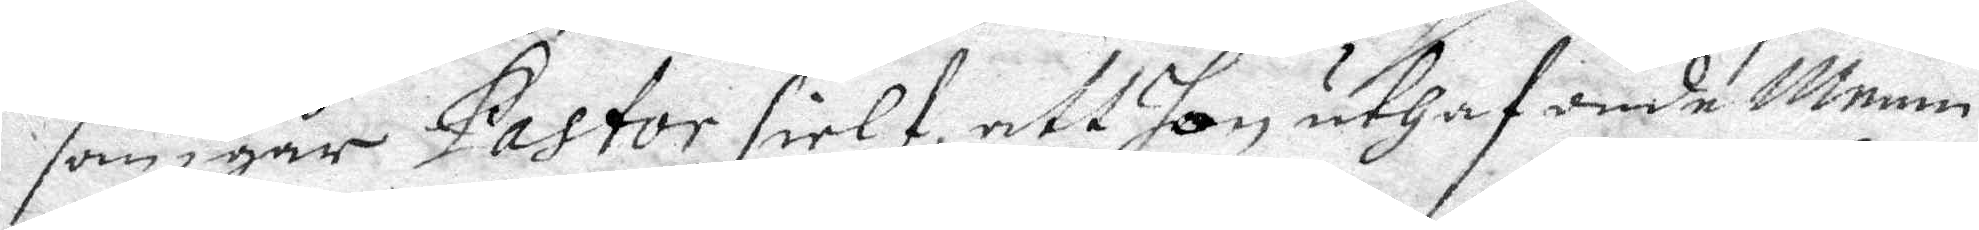som igår Pastor sielf, att hon uthaf onde Menni¬
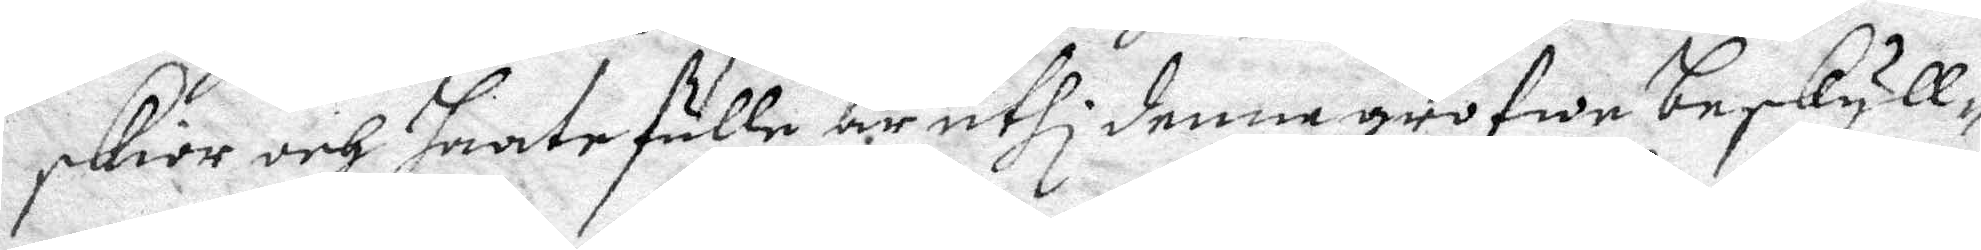skior och Haate fulle är uthi denna grofwe beskyll¬
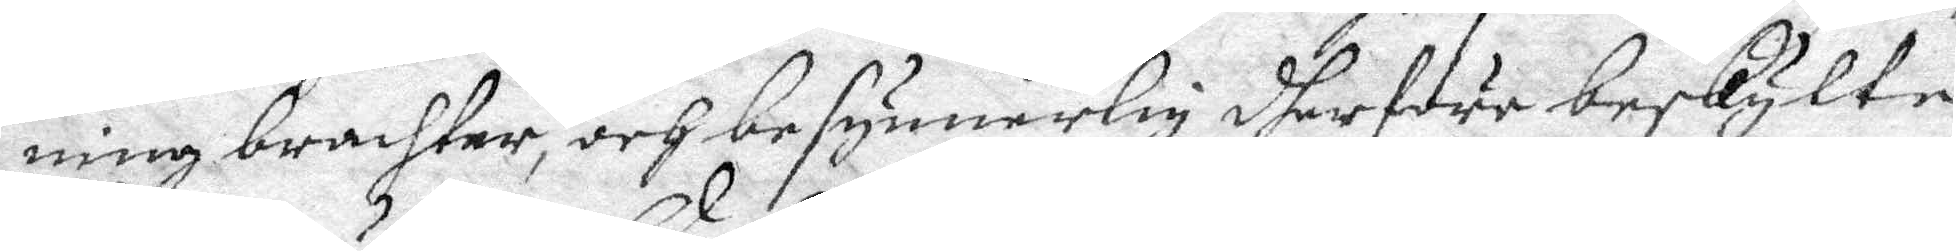ning brachter, och besynnerlig dherföre beskylte
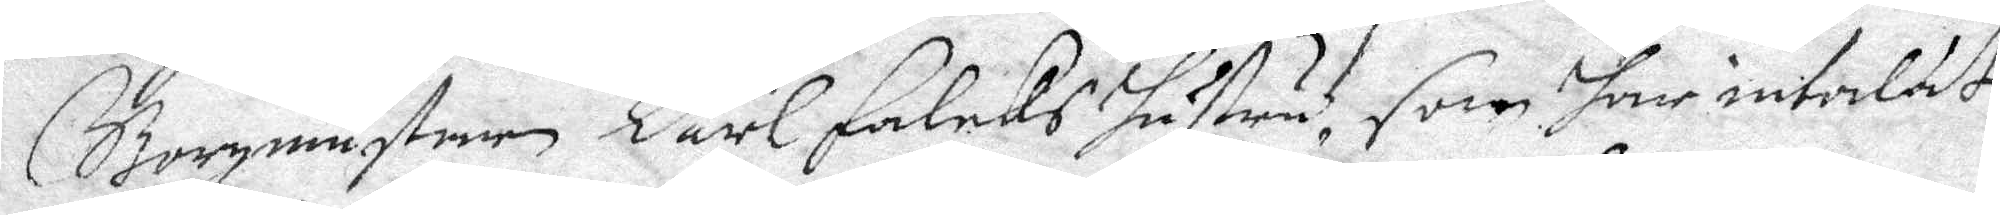Borgmästaren Carl Falcks hustru, som har intalat
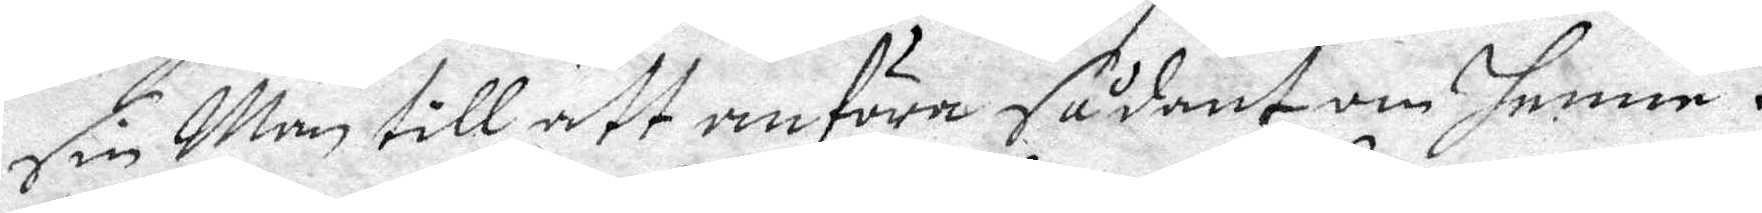sin Man till att anföra sådant om henne.
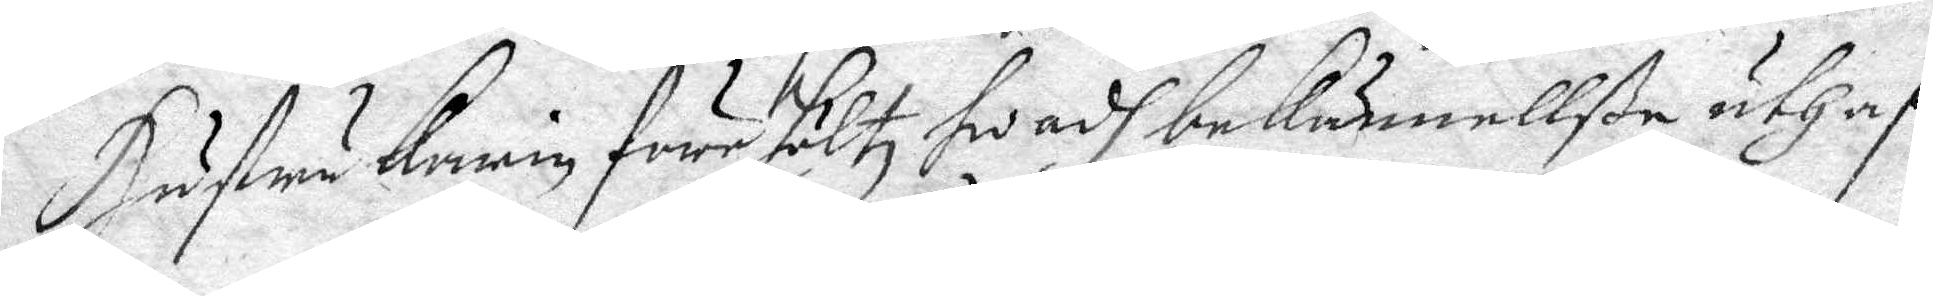Hustru Karin före höltz hwadh bekännellße uthaf
